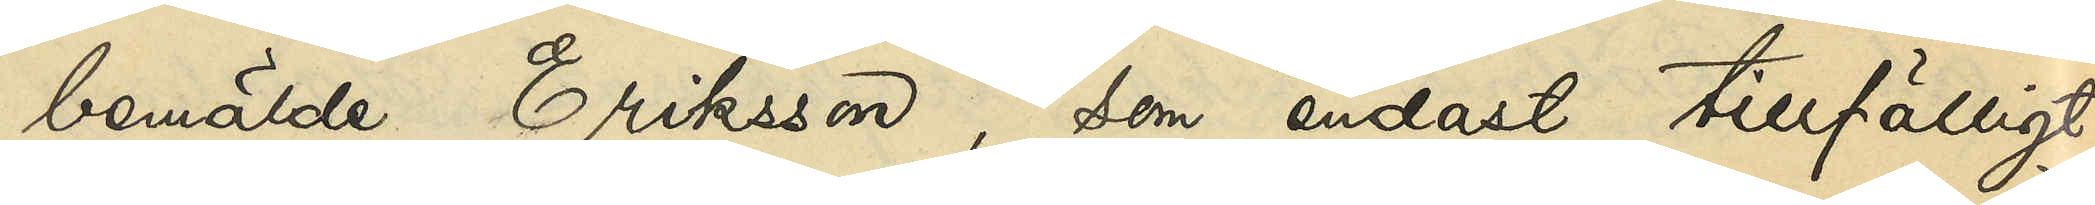bemälde Eriksson, som endast tillfälligt¬
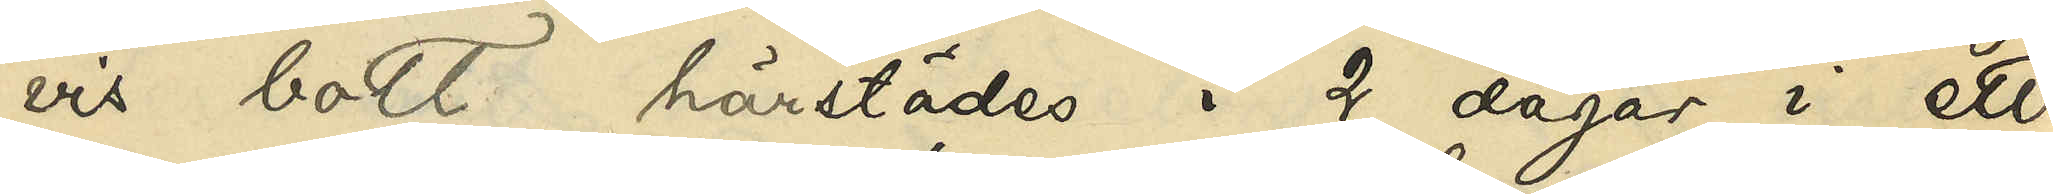vis bott härstädes i 2 dagar i ett
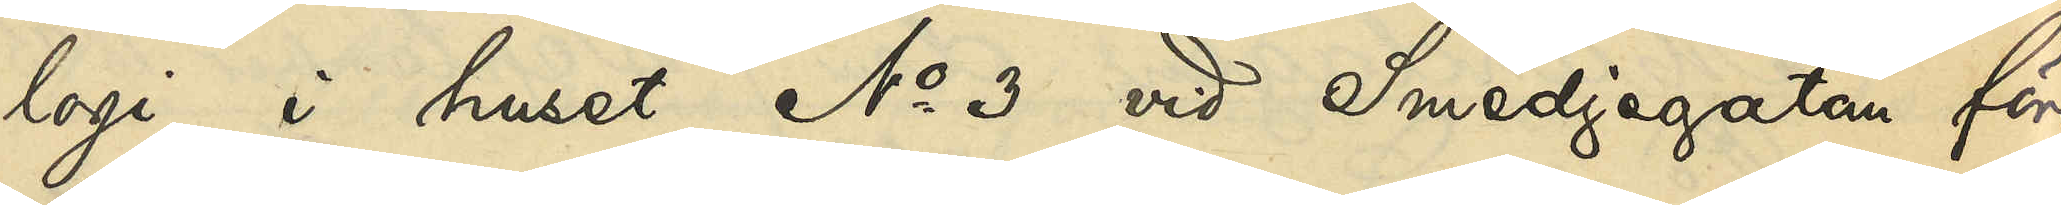logi i huset No 3 vid Smedjegatan före
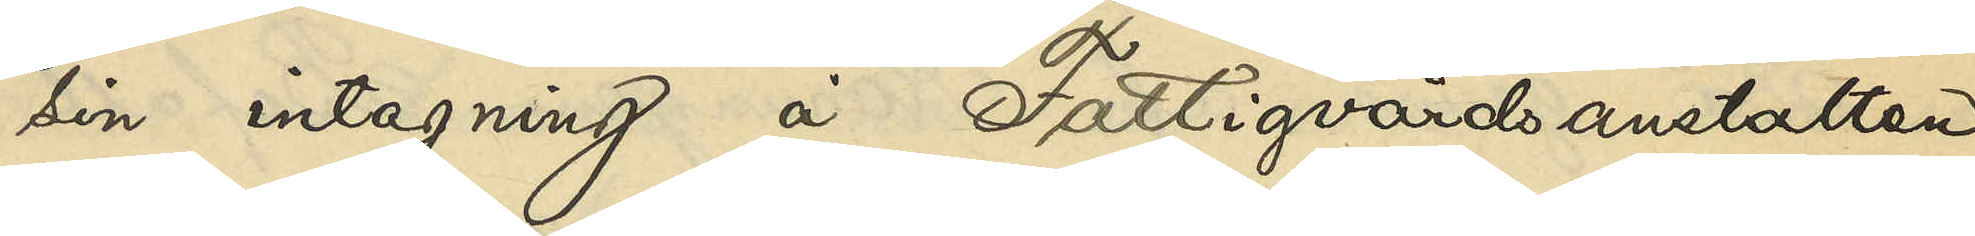sin intagning å Fattigvårdsanstalten
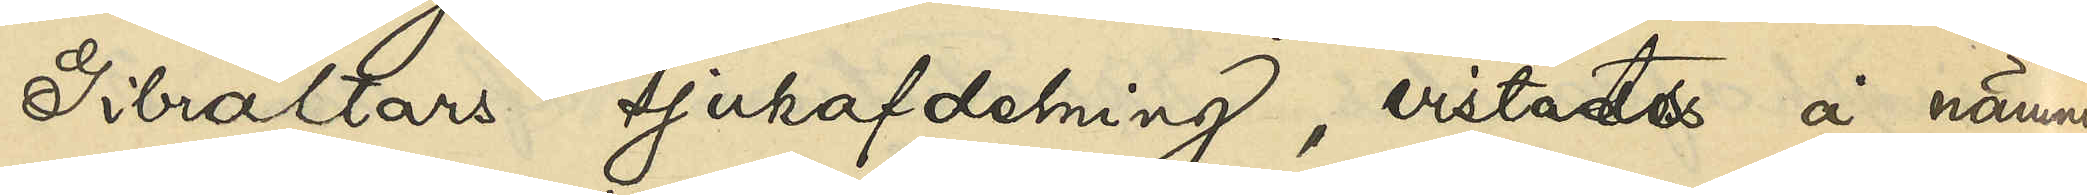Gibraltars sjukafdelning, vistades å nämnda
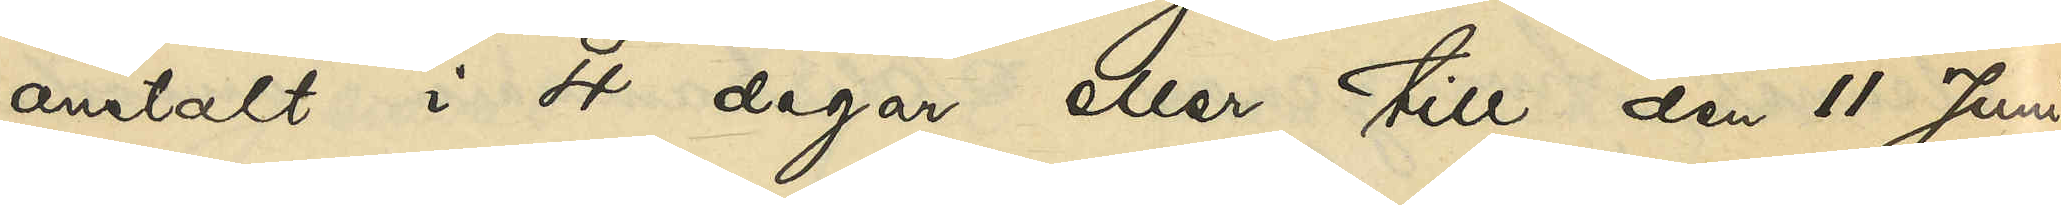anstalt i 4 dagar eller till den 11 Juni
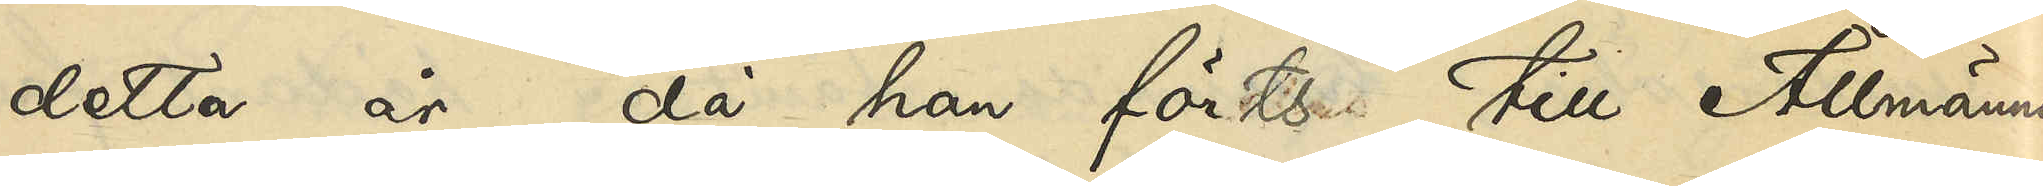detta år, då han förts till Allmänna
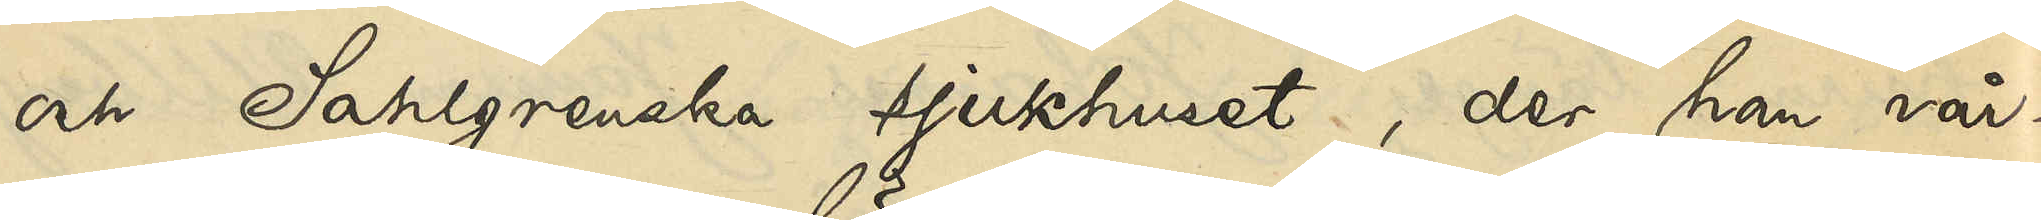och Sahlgrenska sjukhuset, der han vår¬
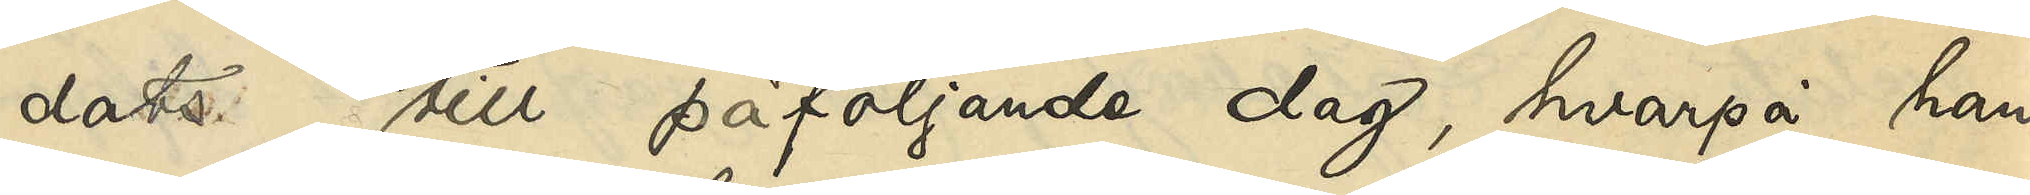dats till påföljande dag, hvarpå han,
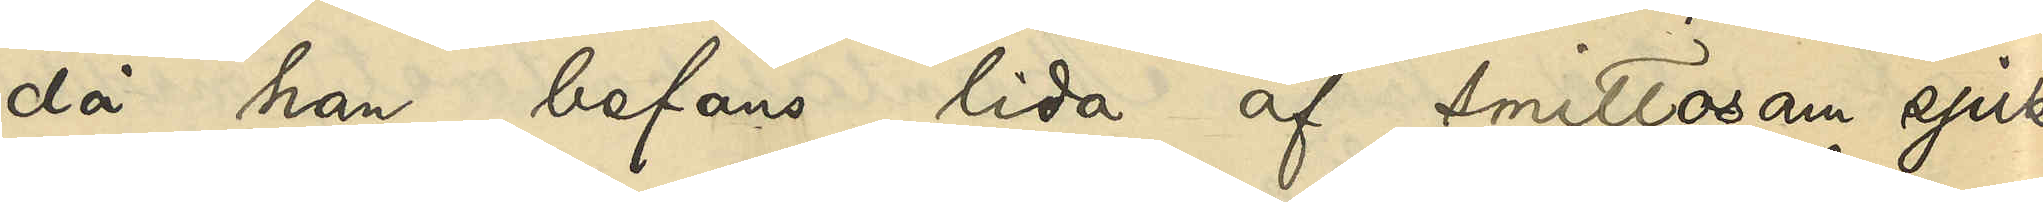då han befans lida af smittosam sjuk¬
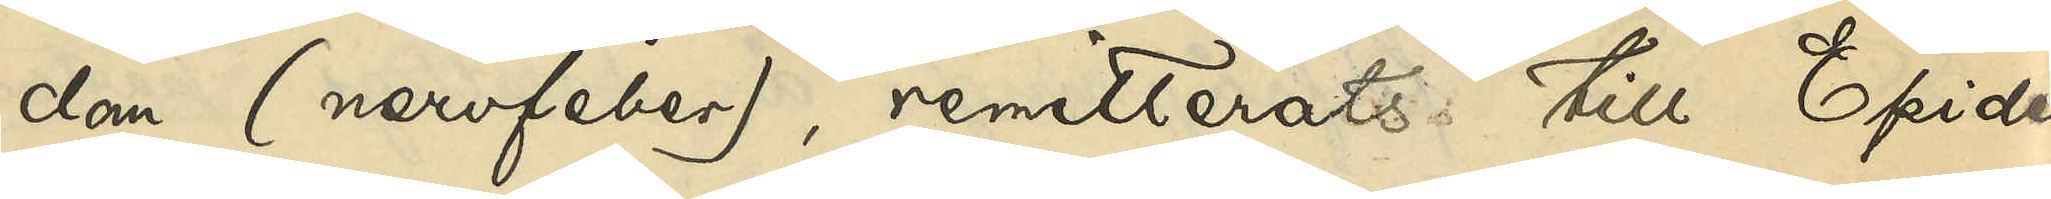dom (nervfeber), remitterats till Epide¬
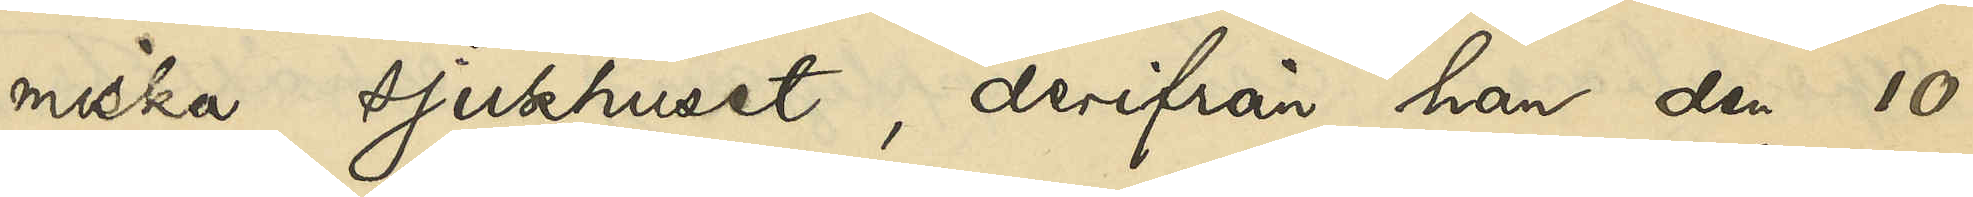miska sjukhuset, derifrån han den 10
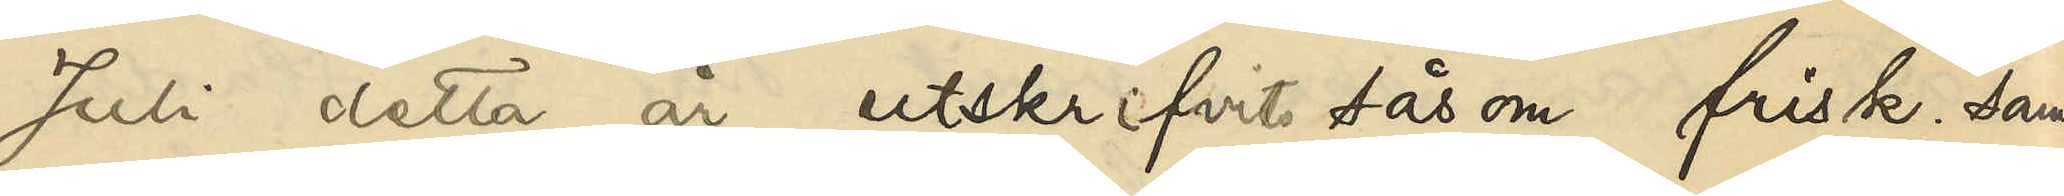Juli detta år utskrifvits såsom frisk; samt
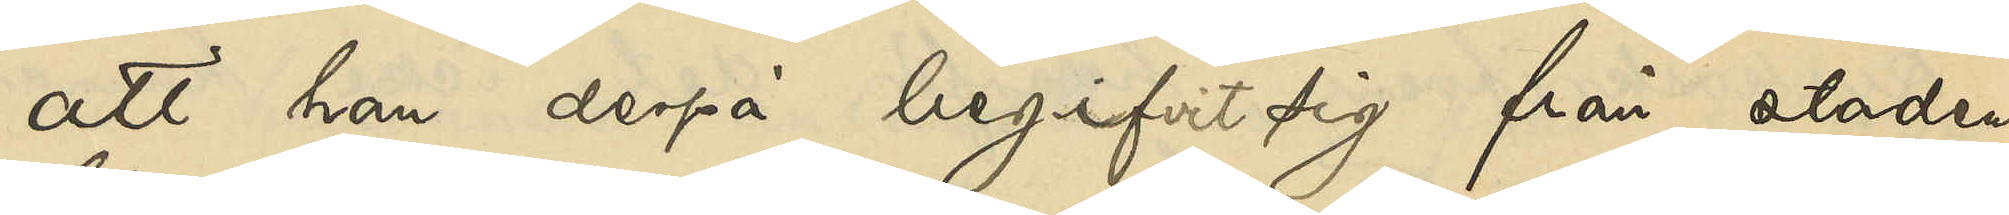att han derpå begifvit sig från staden
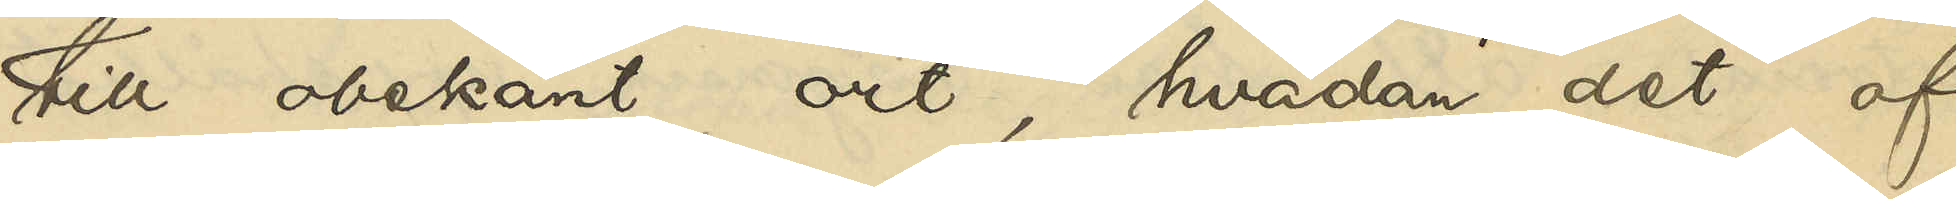till obekant ort, hvadan det af
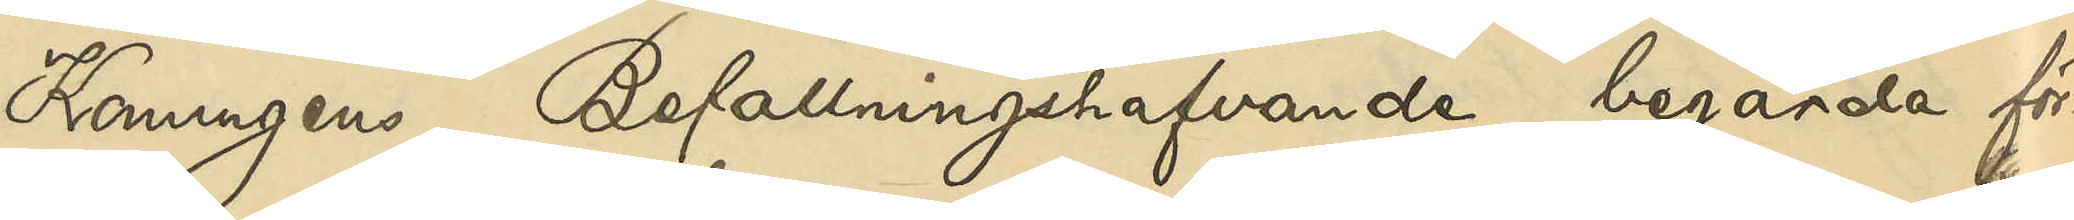Konungens Befallningshafvande begärda för¬
